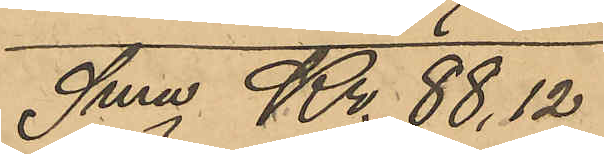Sma Kr. 88,12
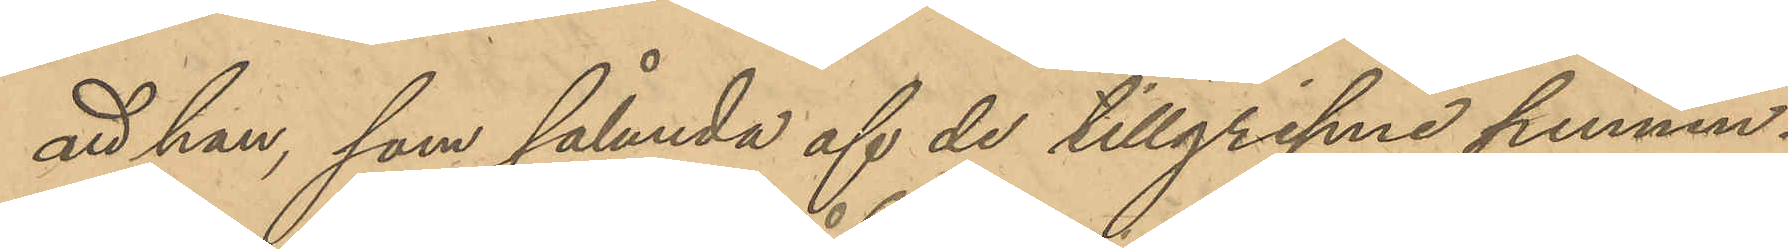att han, som sålunda af de tillgripne pennin¬
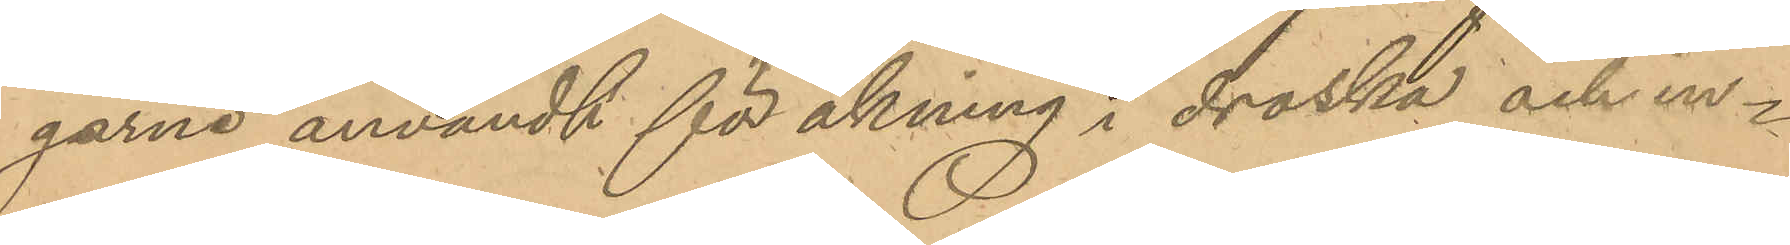garne användt för åkning i droska och in¬
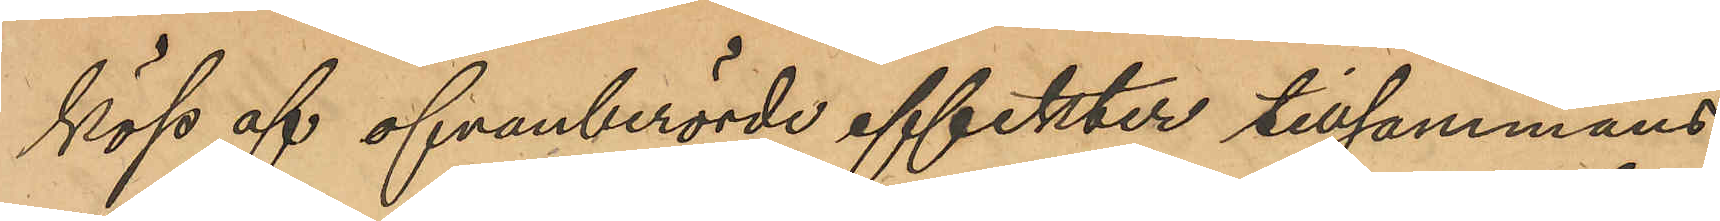köp af ofvanberörde affekter tillsammans
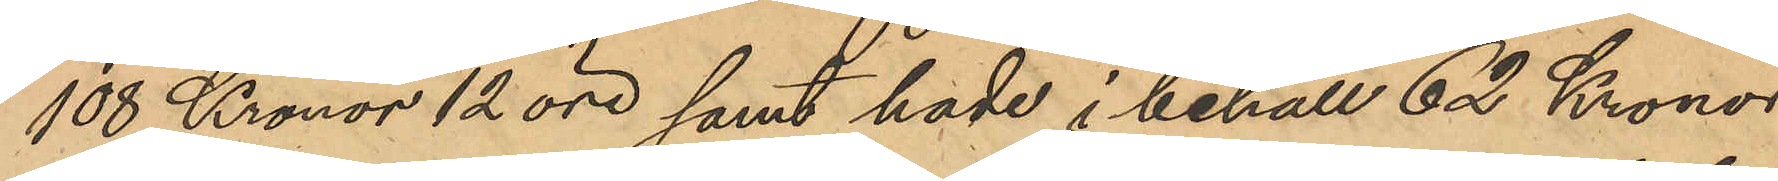108 Kronor 12 öre samt hade i behåll 62 Kronor 
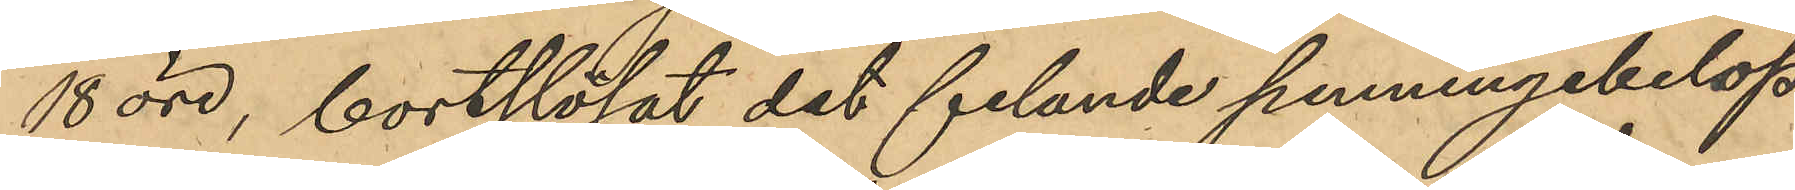18 öre, bortslösat det felande penningebelop¬
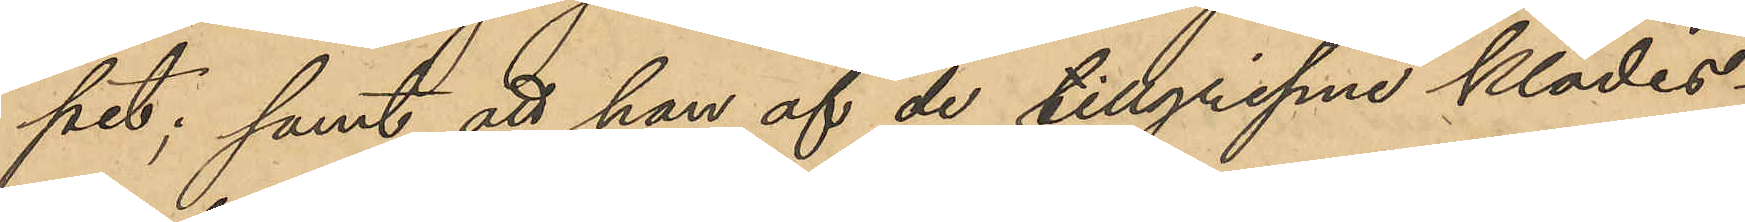pet; samt att han af de tillgripne klädes¬
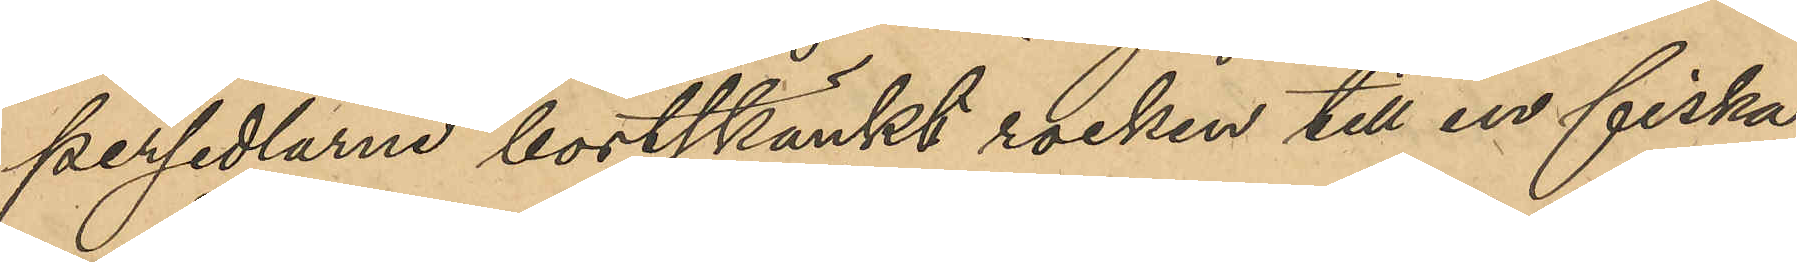persedlarne bortskänkt rocken till en fiska¬
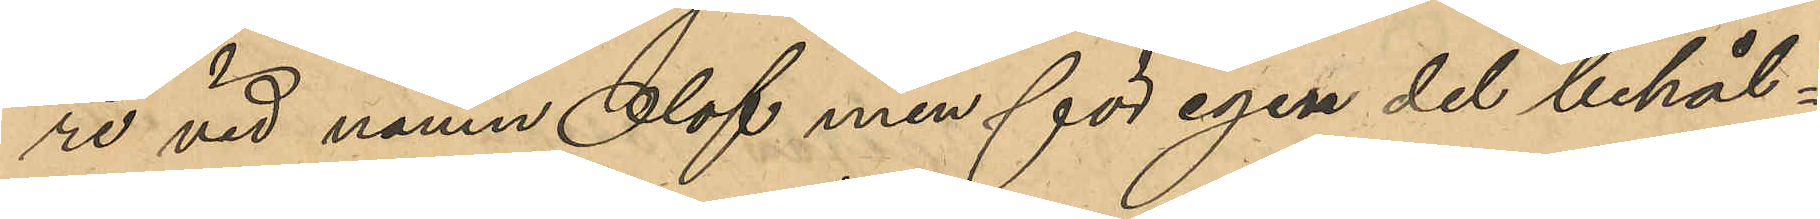re vid namn Olof men för egen del behål¬
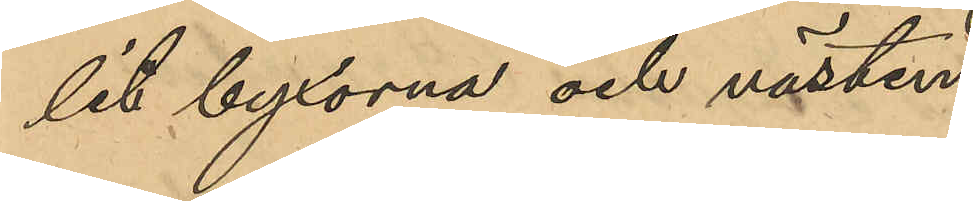lit byxorna och västen.
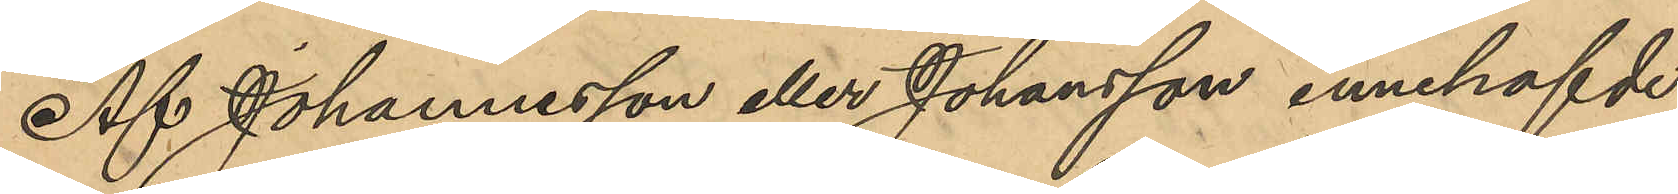Af Johannesson eller Johansson innehafvde
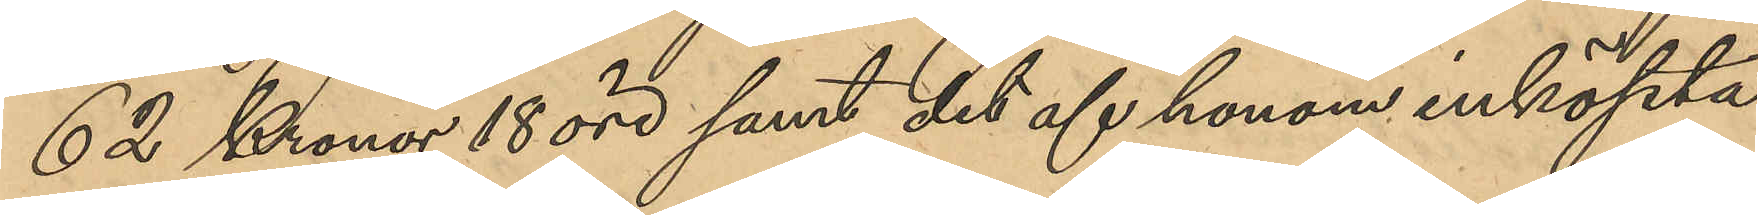62 Kronor 18 öre samt det af honom inköpta
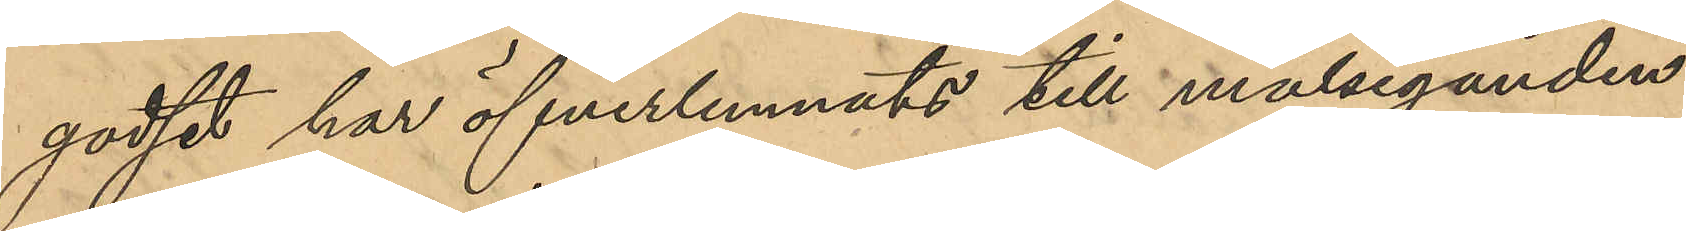godset har öfverlämnats till målseganden.
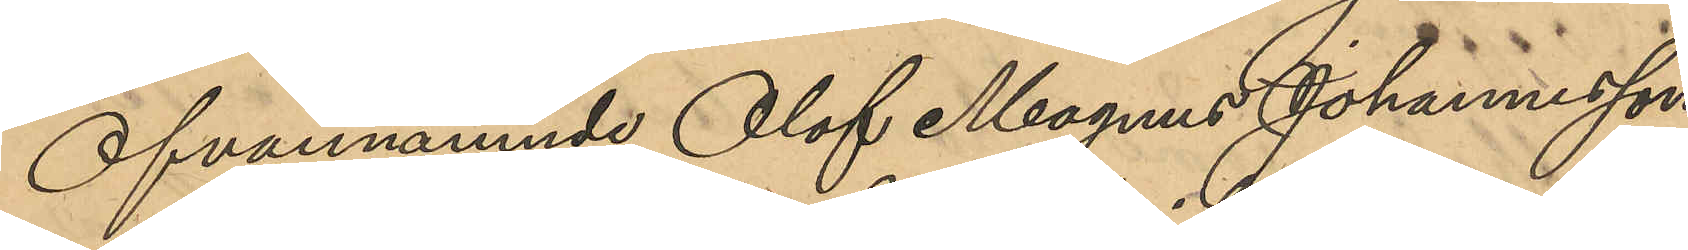Ofvannämnde Olof Magnus Johannesson
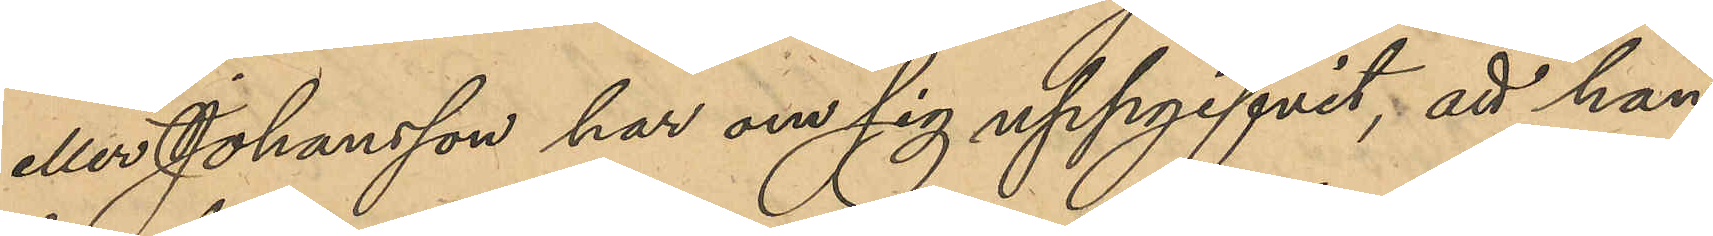eller Johansson har om sig uppgifvit, att han
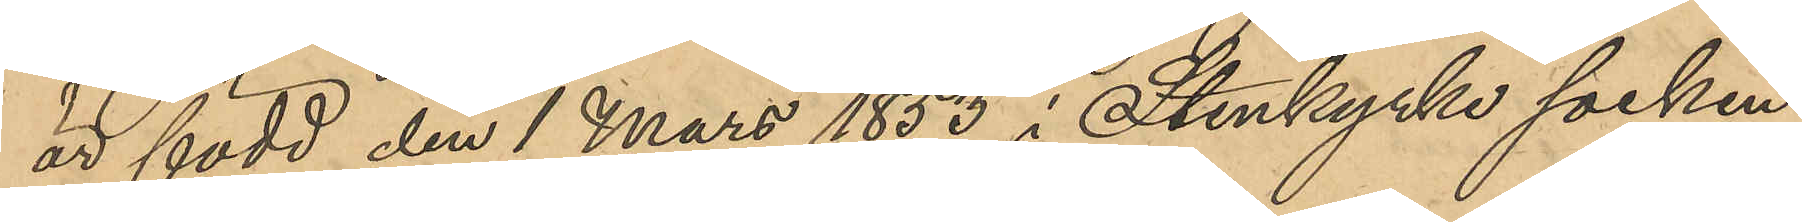är född den 1 Mars 1853 i Stenkyrke socken,
